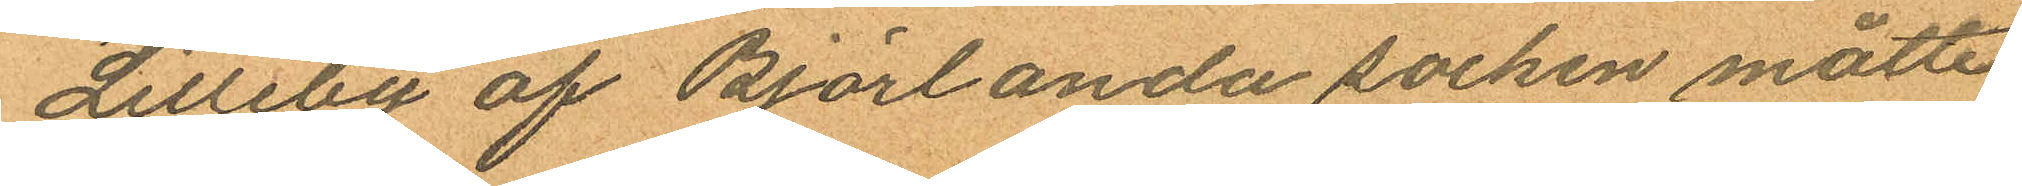Lilleby af Björlanda socken måtte
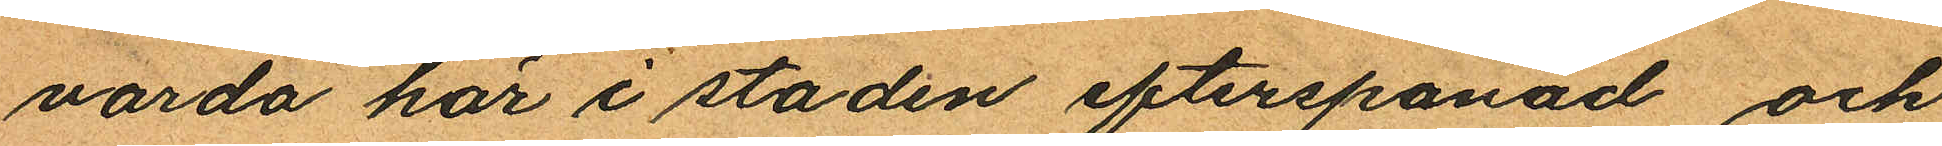varda här i staden efterspanad och
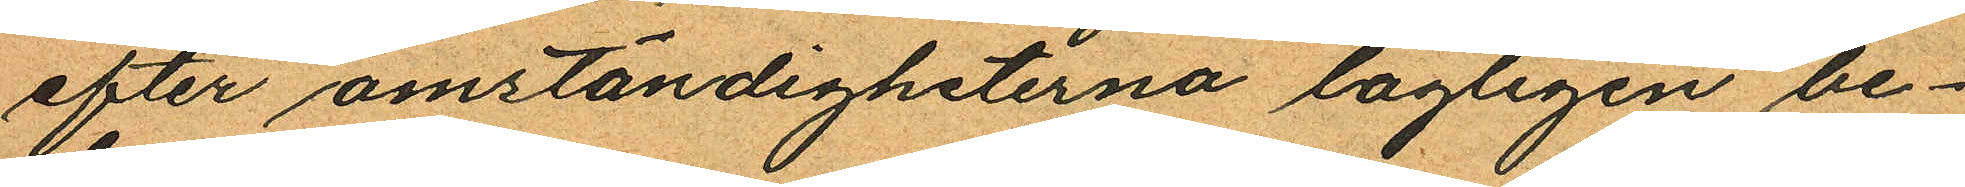efter omständigheterna lagligen be¬
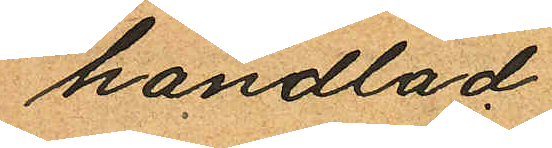handlad.
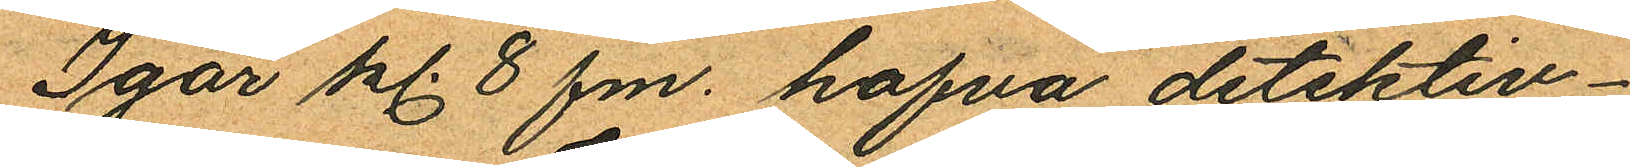Igår kl. 8 fm. hafva detektiv¬
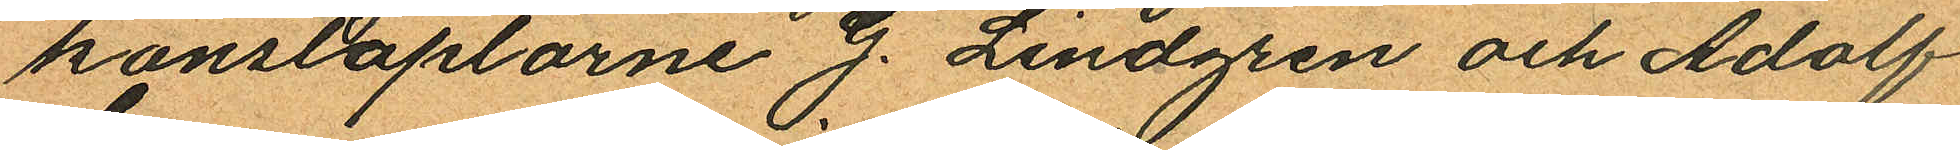konstaplarne G. Lindgren och Adolf
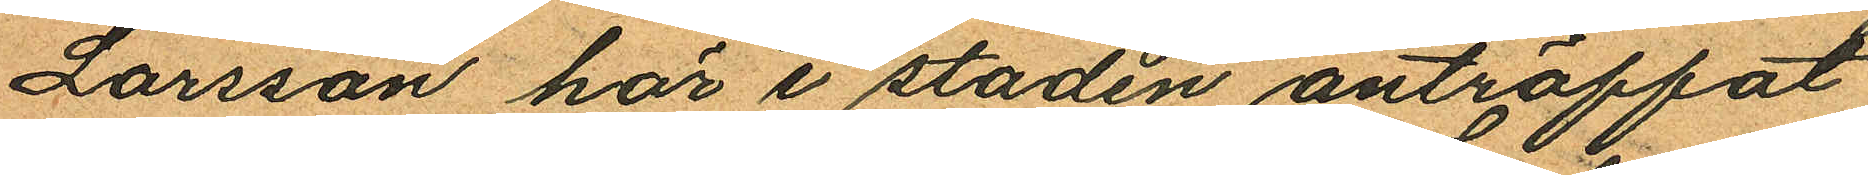Larsson här i staden anträffat
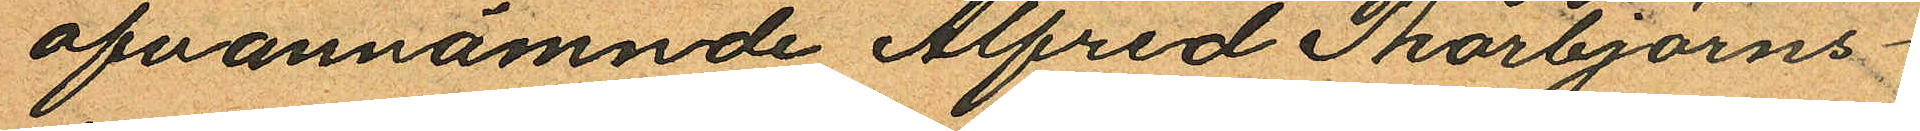ofvannämnde Alfred Thorbjörns¬
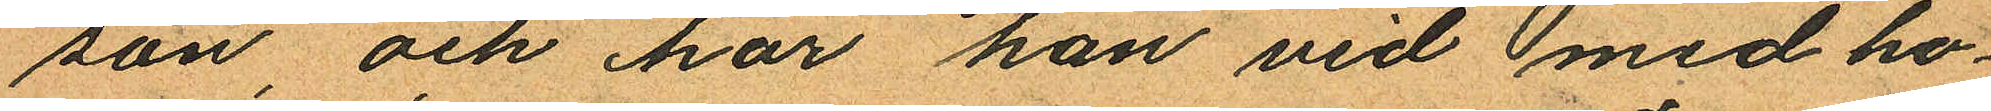son, och har han vid med ho¬
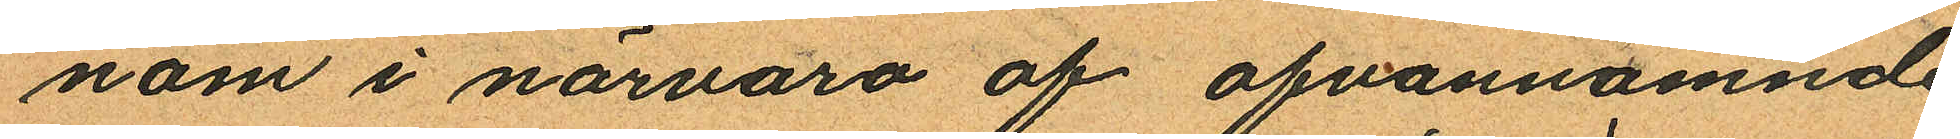nom i närvaro af ofvannämnde
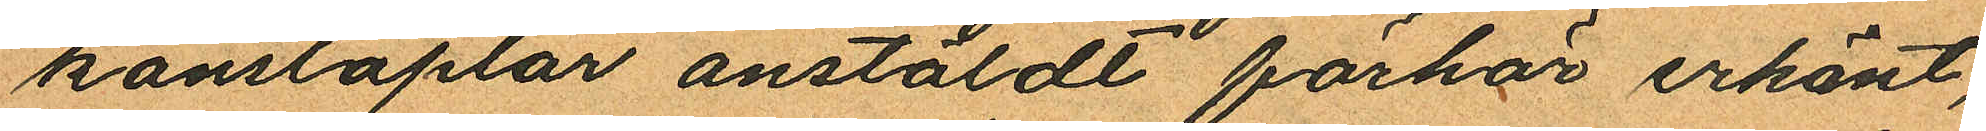konstaplar anstäldt förhör erkänt,
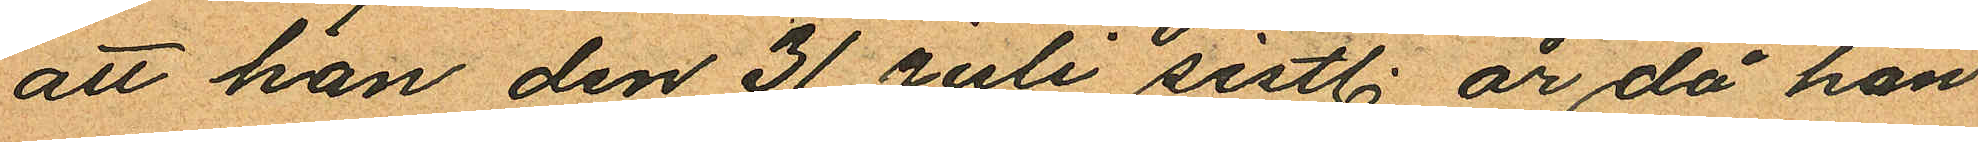att han den 31 Juli sistl. år då han
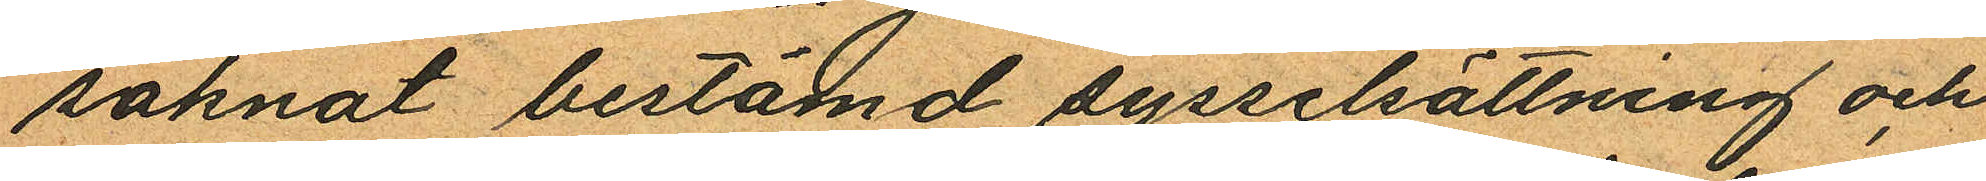saknat bestämd sysselsättning och
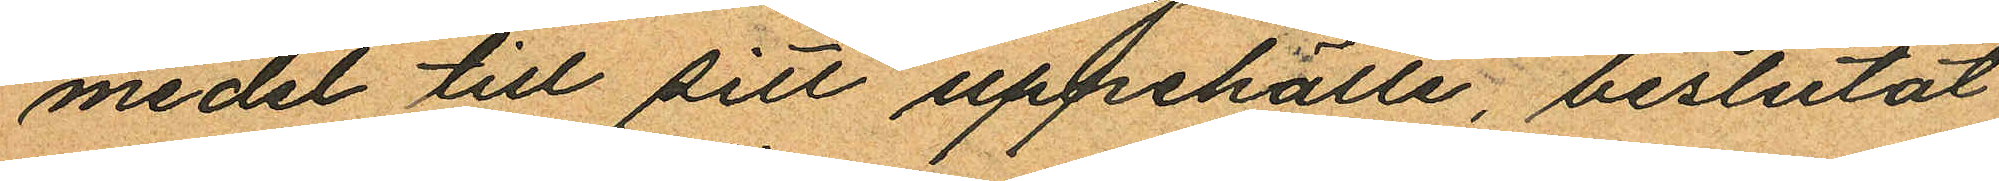medel till sitt uppehälle, beslutat
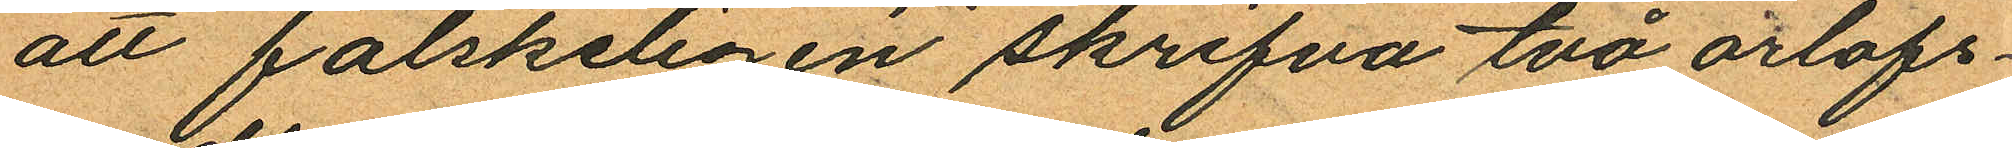att falskeligen skrifva två orlofs¬
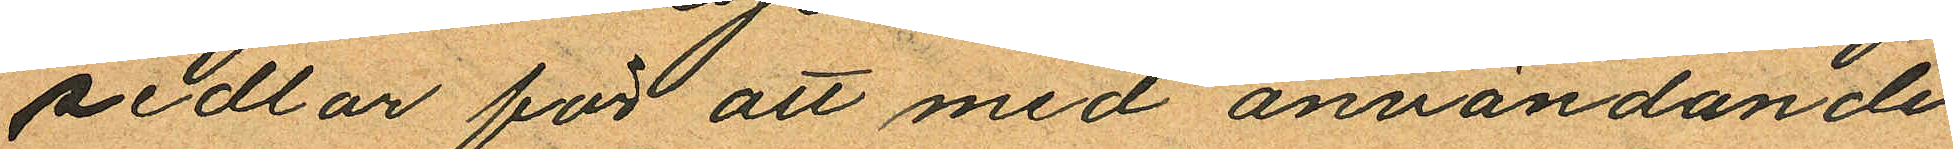sedlar för att med användande
